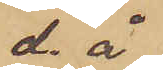d. å
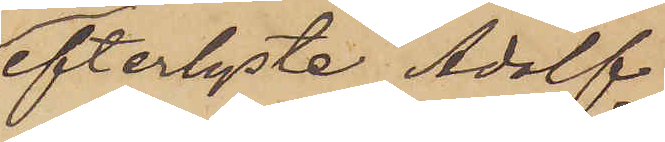efterlyste Adolf
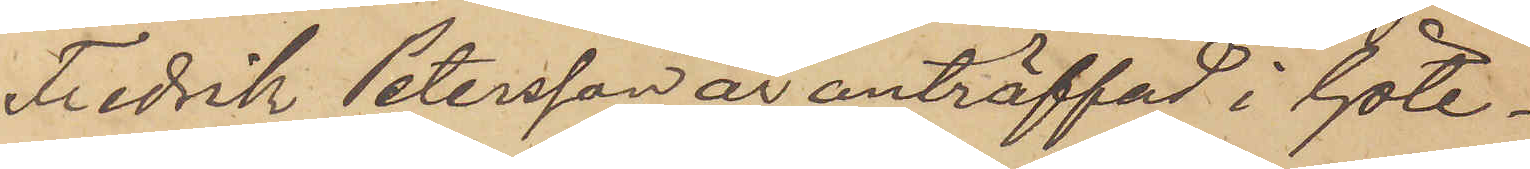Fredrik Petersson är anträffad i Göte¬
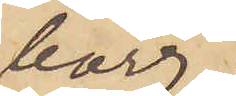borg;
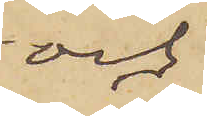och
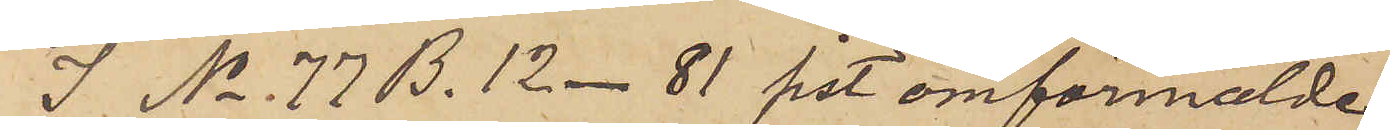I No 77 B. 12 - 81 sist omförmälde
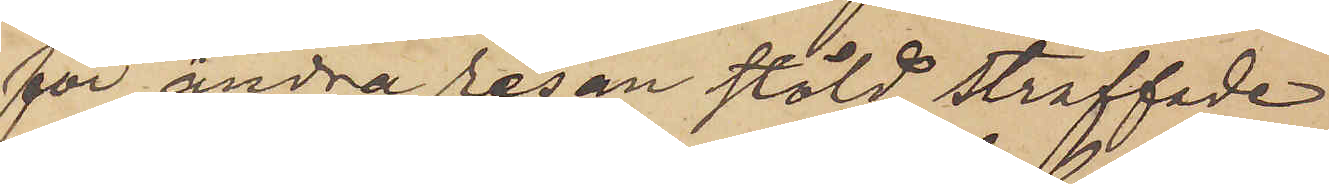för andra resan stöld straffade
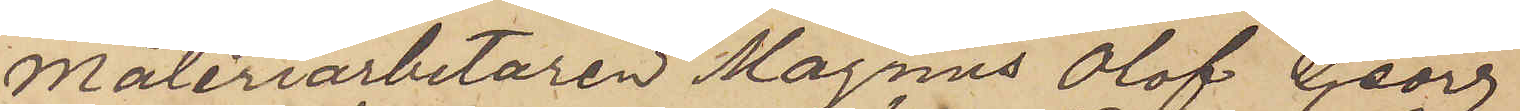Måleriarbetaren Magnus Olof Georg
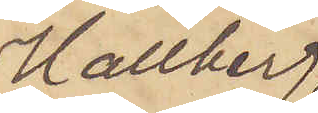Hallberg
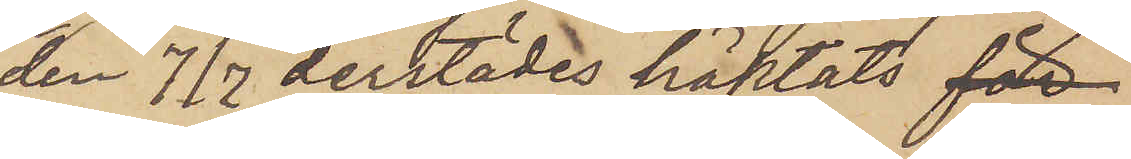den 7/7 derstädes häktats för
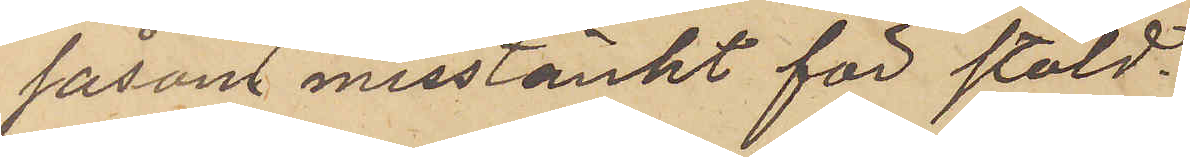såsom misstänkt för stöld.
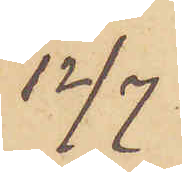12/7
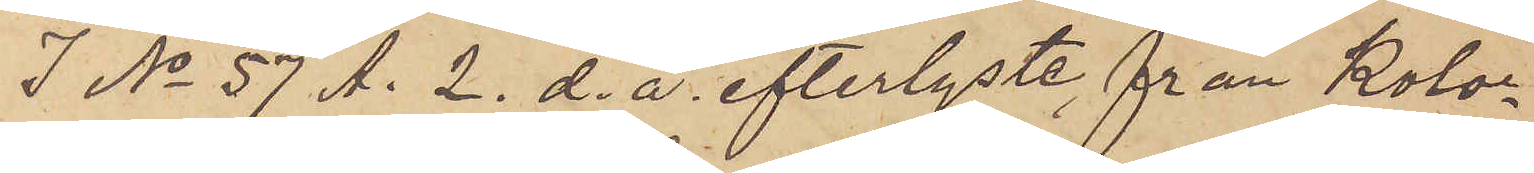I No 57 A. 2. d. å efterlyste, från Kolo¬
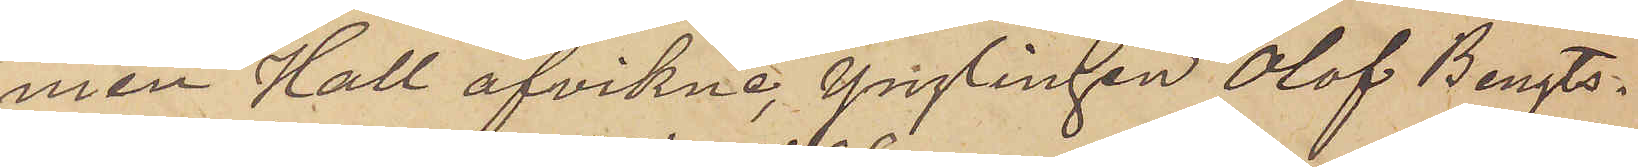nien Hall afvikne, ynglingen Olof Bengts¬
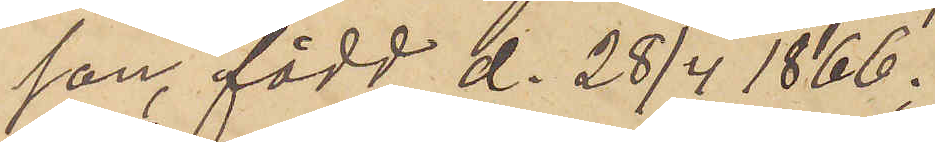son, född d. 28/4 1866;
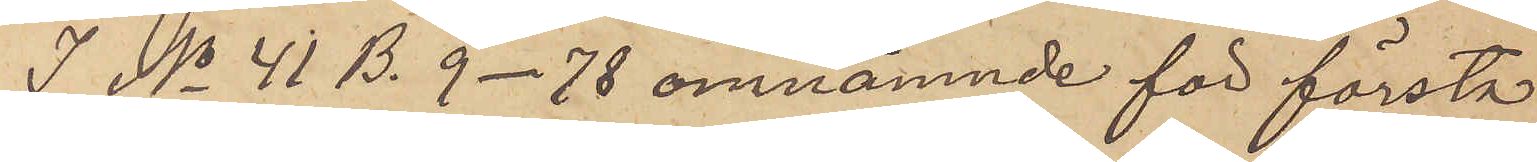I No 41 B. 9 - 78 omnämnde för första
